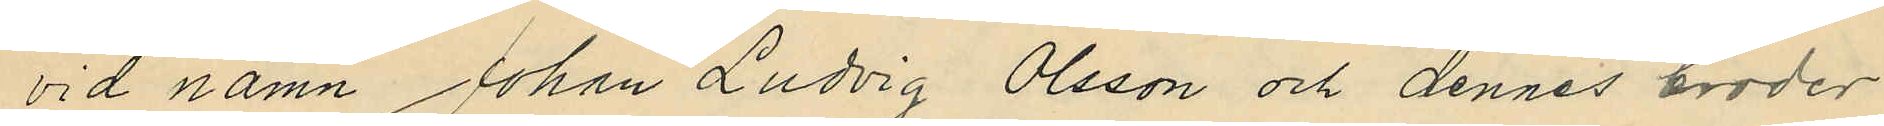vid namn Johan Ludvig Olsson och dennes broder
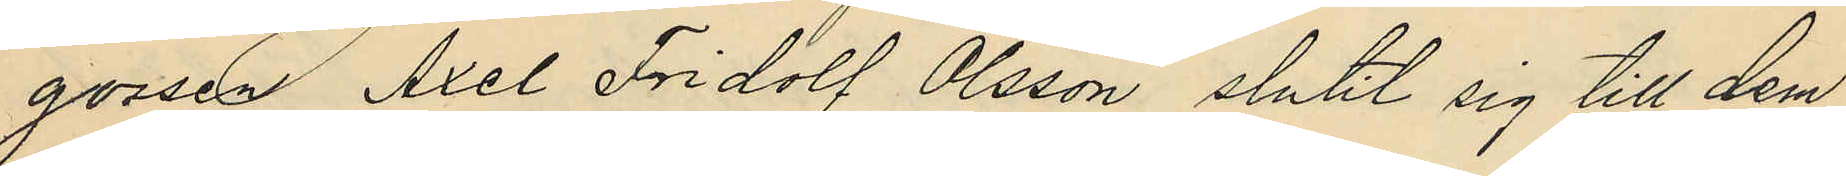gossen Axel Fridolf Olsson slutit sig till dem
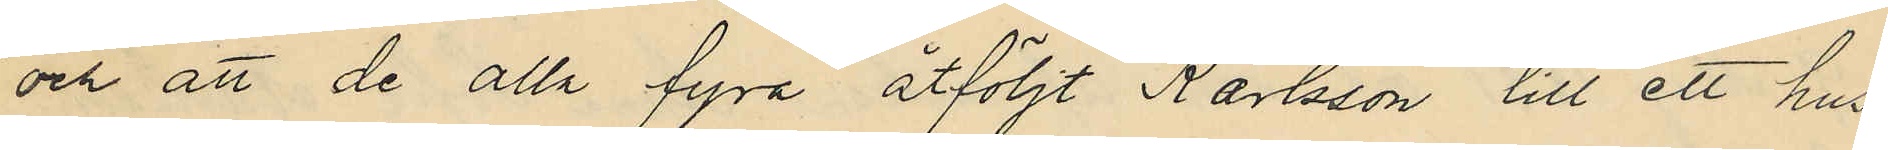och att de alla fyra åtföljt Karlsson till ett hus
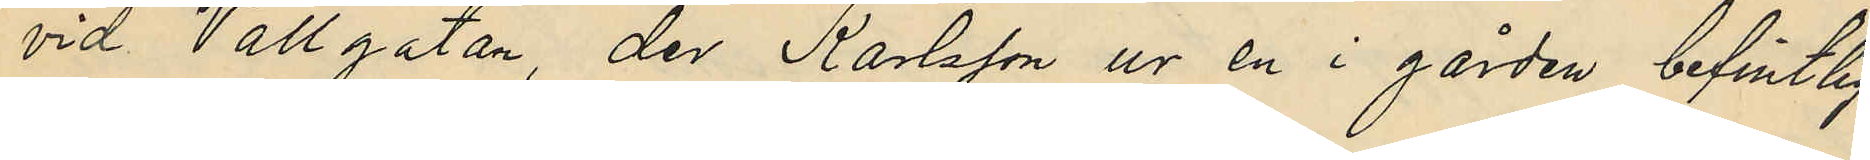vid Vallgatan, der Karlsson ur en i gården befintlig
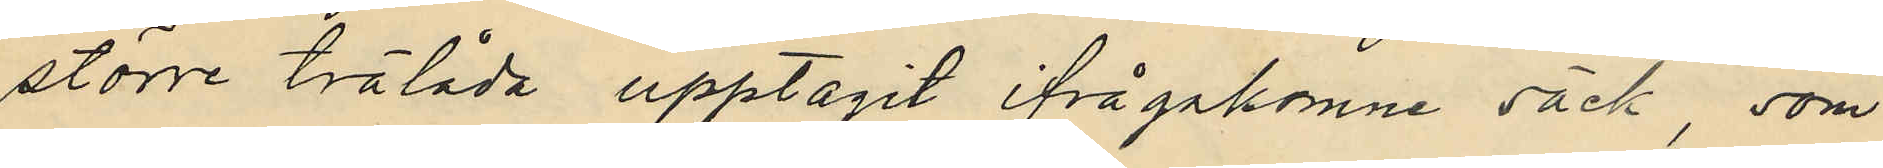större trälåda upptagit ifrågakomne säck, som
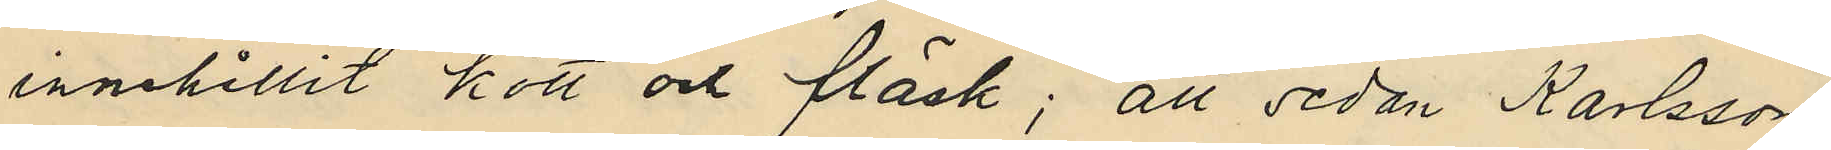innehållit kött och fläsk; att sedan Karlsson
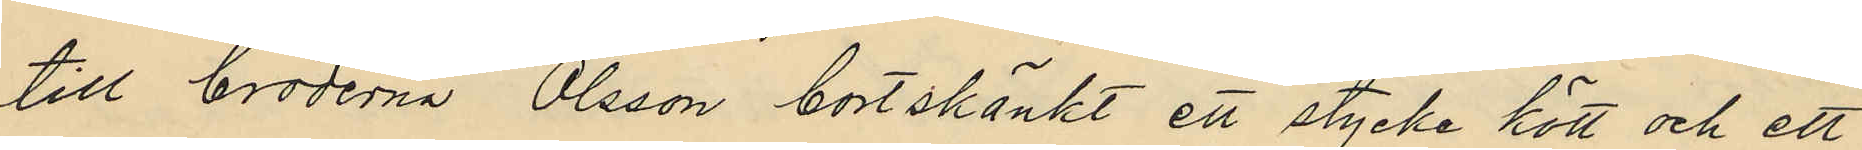till bröderna Olsson bortskänkt ett stycke kött och ett
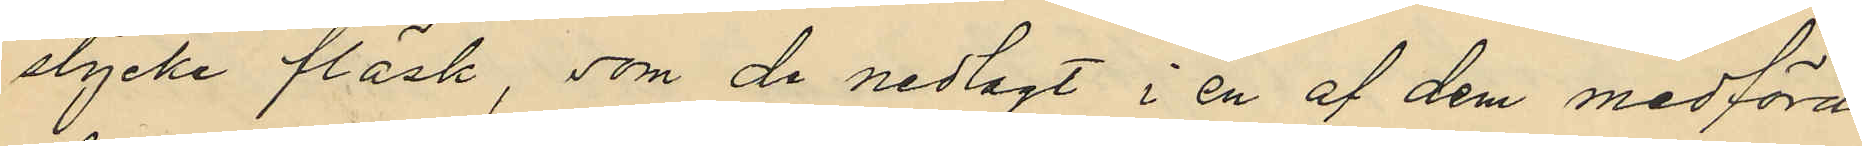stycke fläsk, som de nedlagt i en af dem medförd
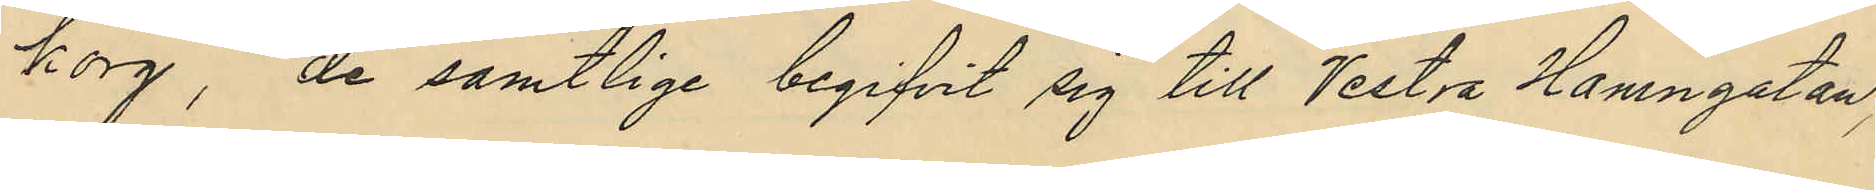korg, de samtlige begifvit sig till Vestra Hamngatan,
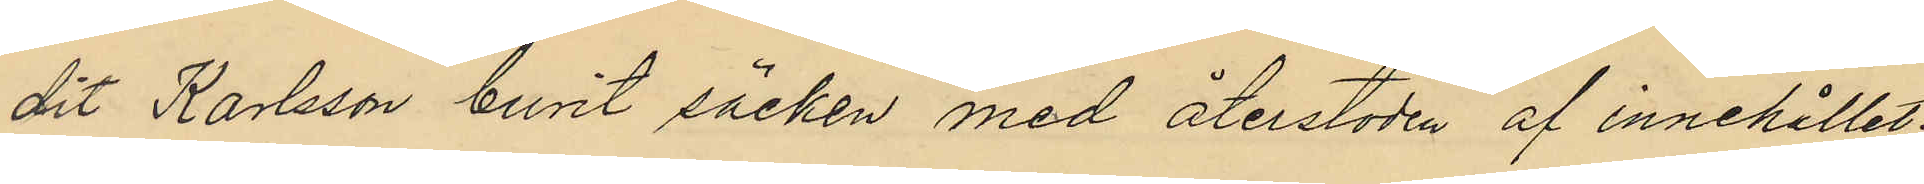dit Karlsson burit säcken med återstoden af innehållet,
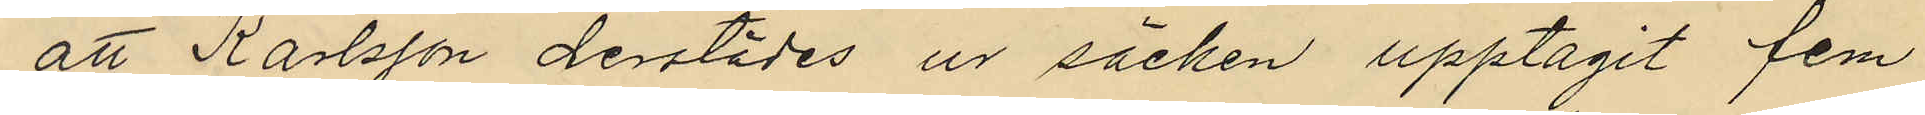att Karlsson derstädes ur säcken upptagit fem
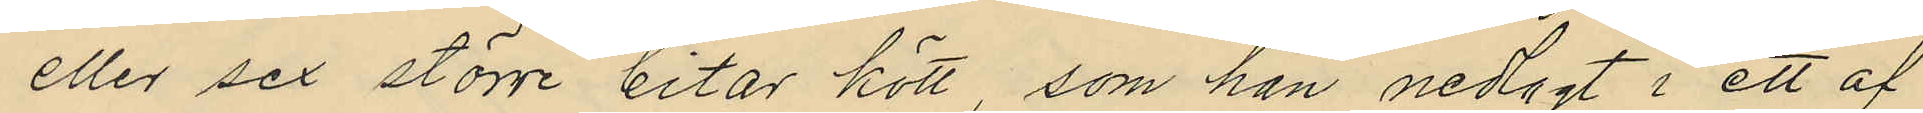eller sex större bitar kött, som han nedagt i ett af
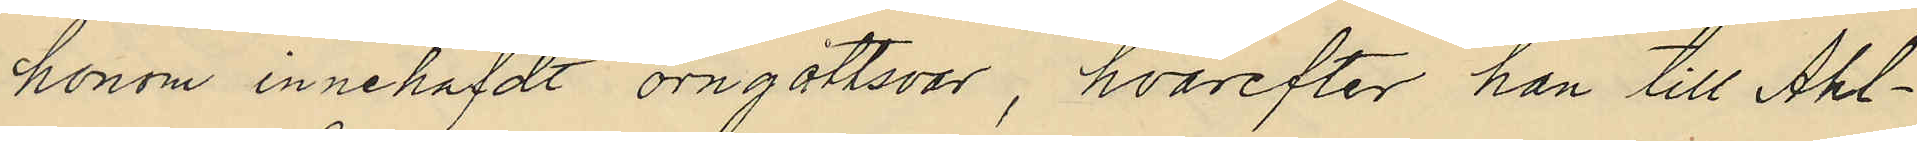honom innehafdt örngottsvar, hvarefter han till Ahl¬
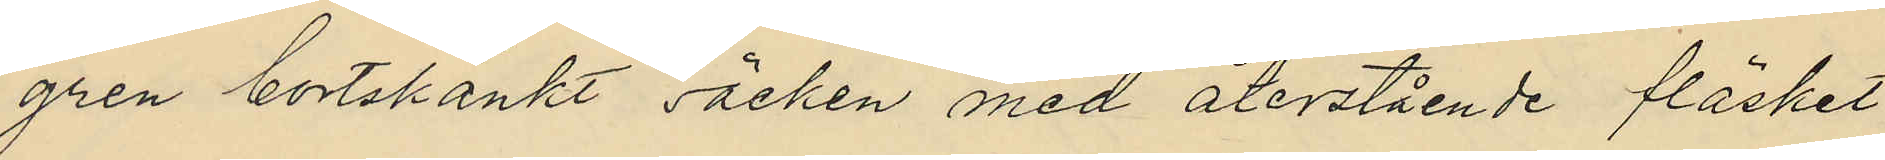gren bortskänkt säcken med återstående fläsket
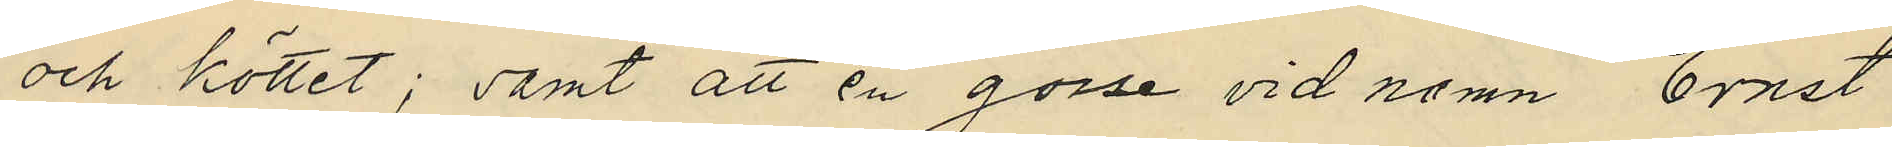och köttet; samt att en gosse vid namn Ernst
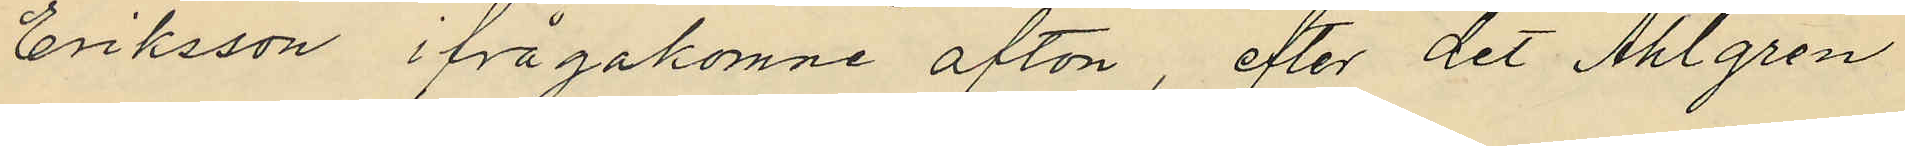Eriksson ifrågakomne afton, efter det Ahlgren
